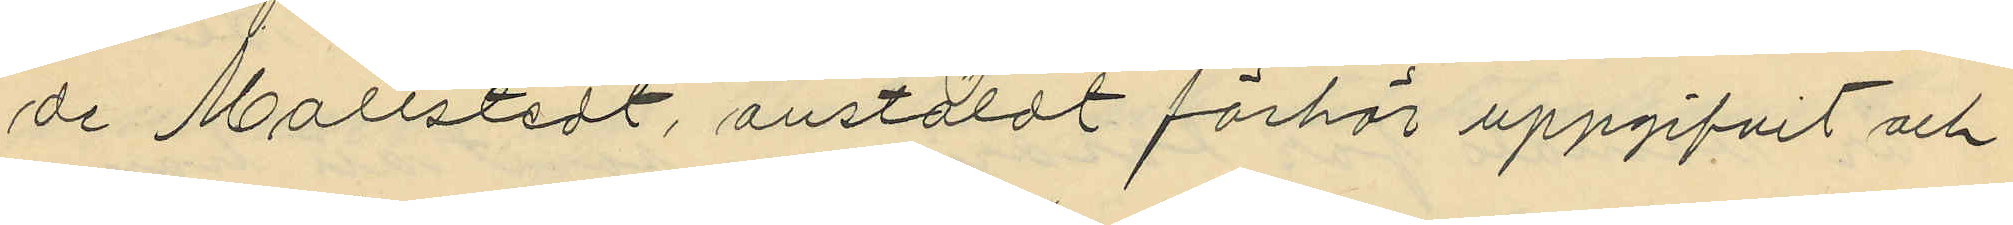de Mollstedt, anstäldt förhör uppgifvit och
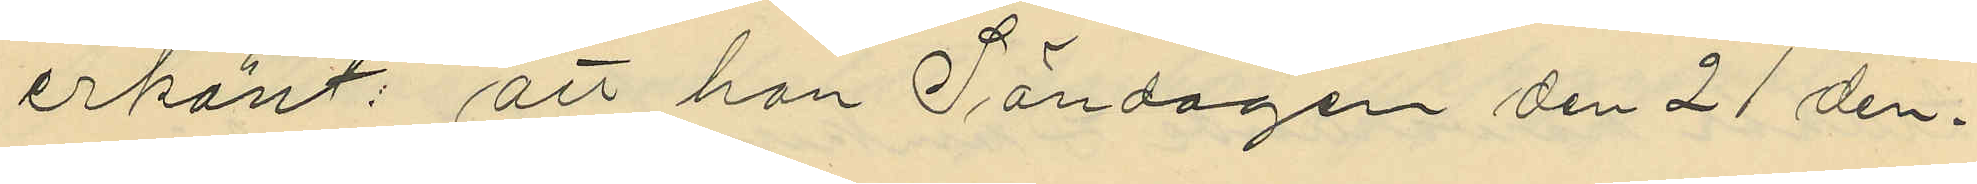erkänt: att han Söndagen den 21 den¬
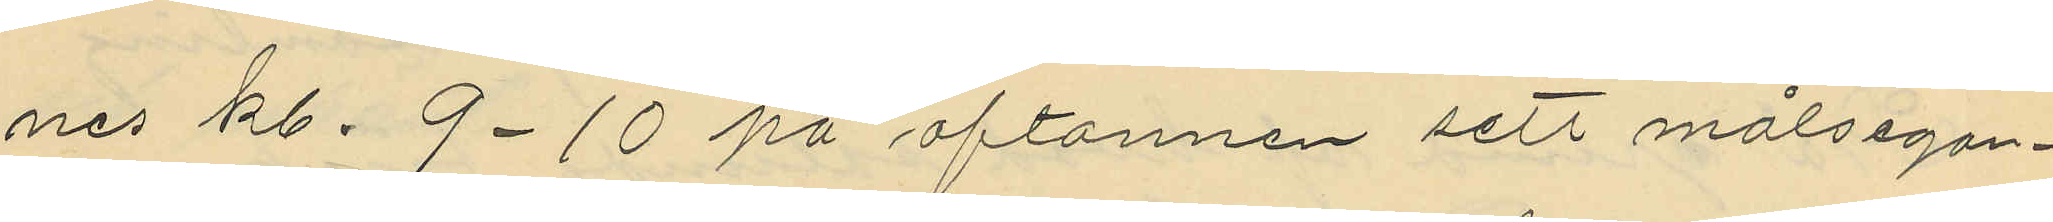nes kl. 9-10 på aftonnen sett målsegan¬
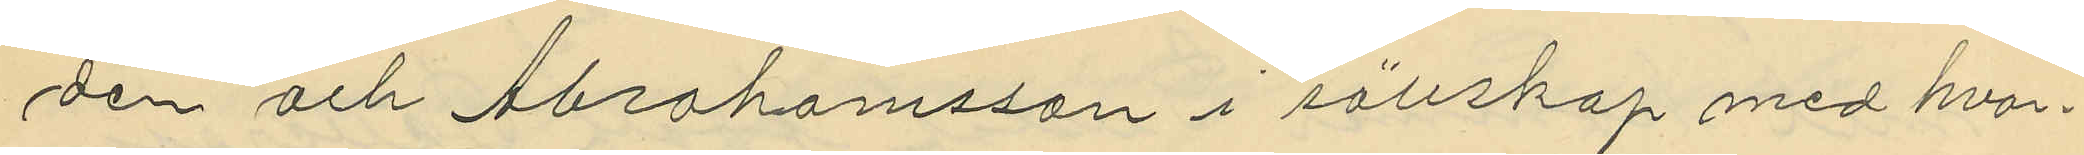den och Abrahamsson i sällskap med hvar¬
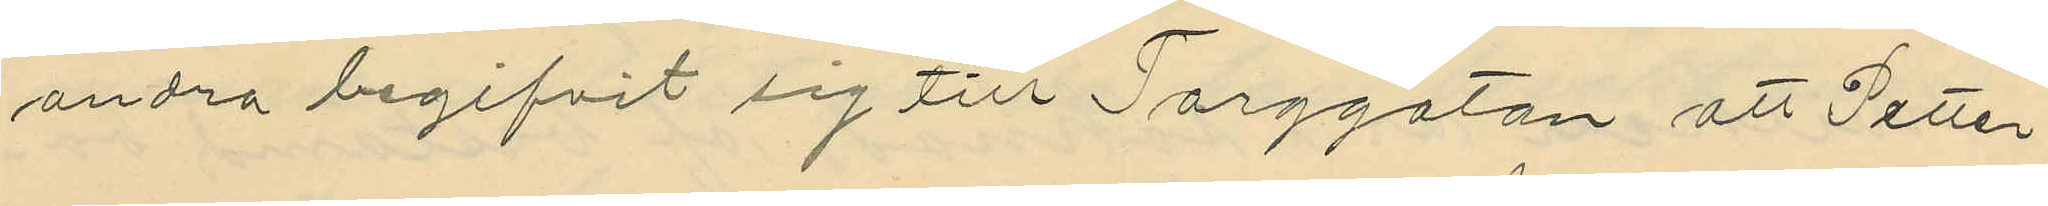andra begifvit sig till Torggatan att Petter¬
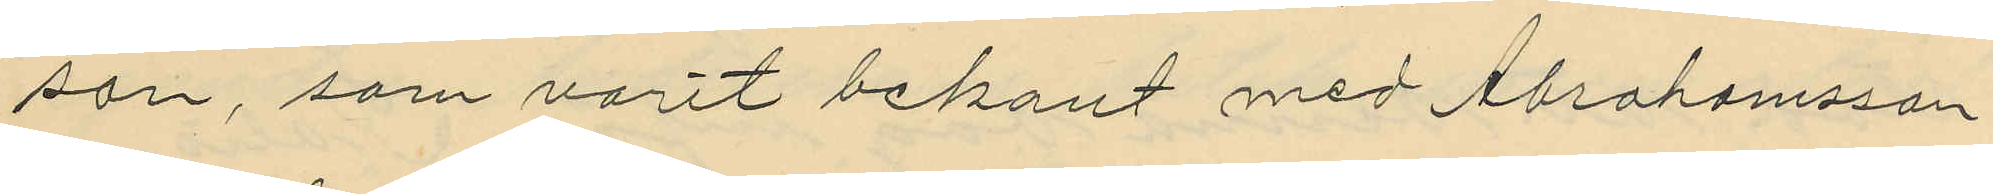son, som varit bekant med Abrahamsson
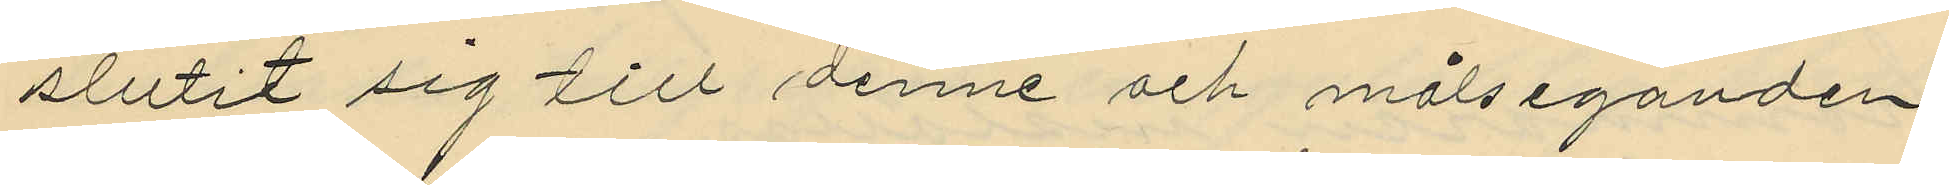slutit sig till denne och målseganden,
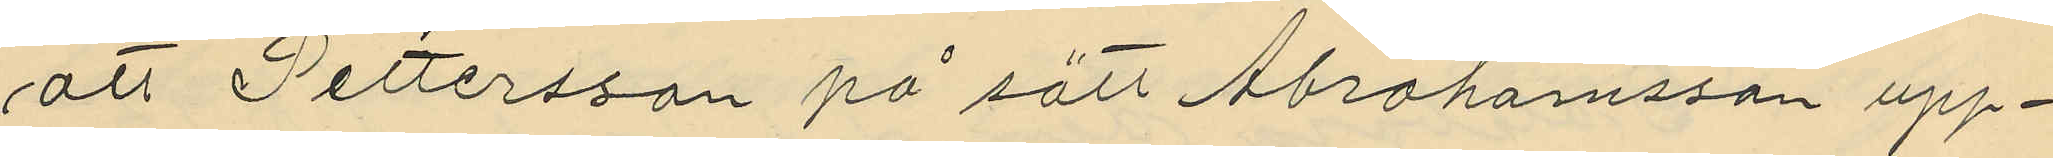att Pettersson på sätt Abrahamsson upp¬
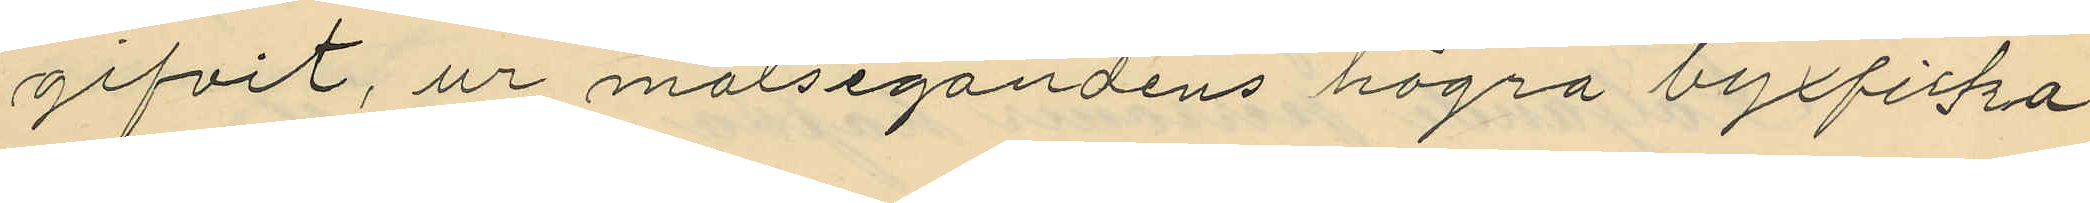gifvit, ur målsegandens högra byxficka
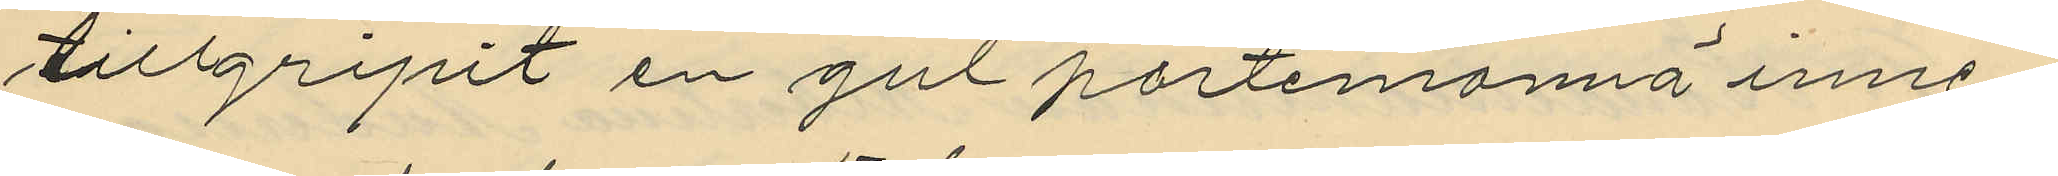tillgripit en gul portmonnä inne¬
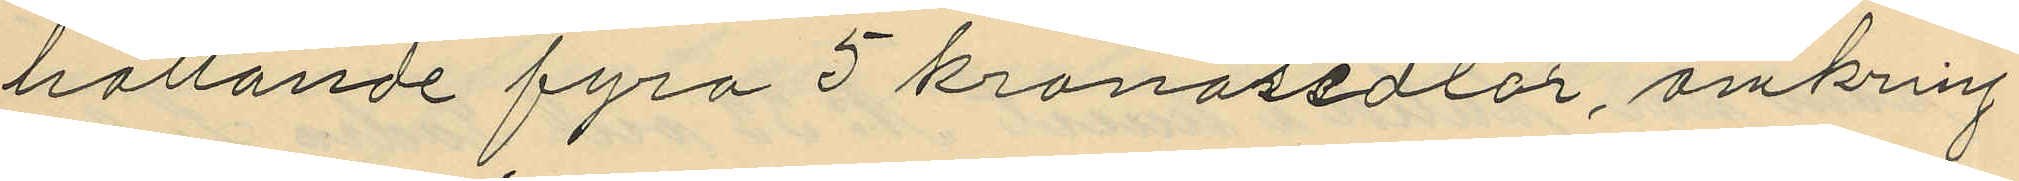hållande fyra 5 kronorsedlar, omkring
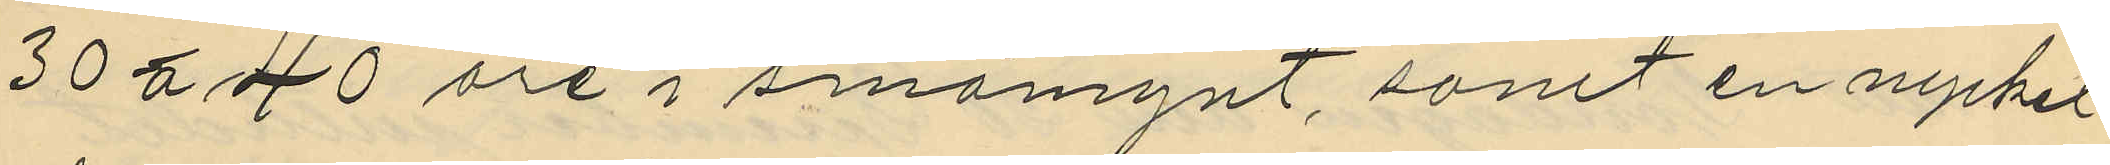30 á 40 öre i småmynt, samt en nyckel
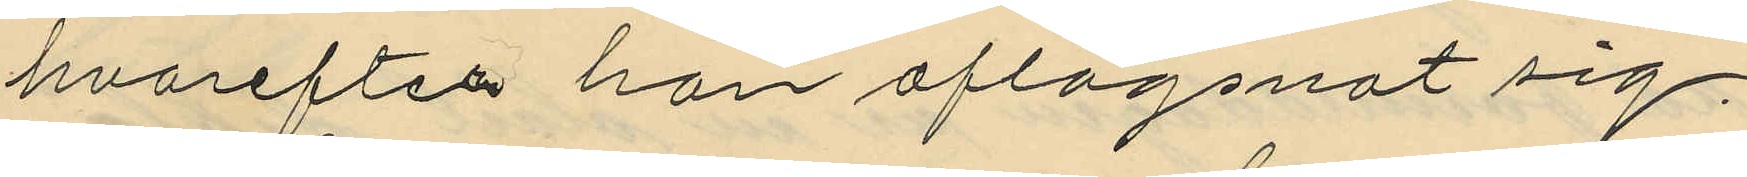hvarefter han aflägsnat sig.
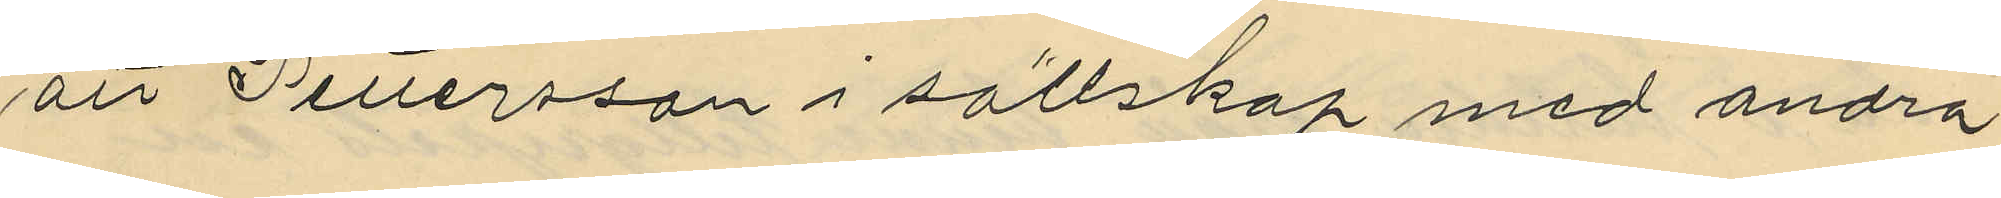att Pettersson i sällskap med andra
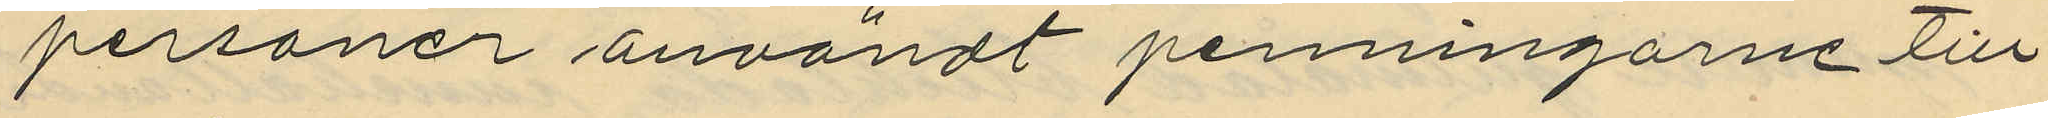personer användt penningarne till
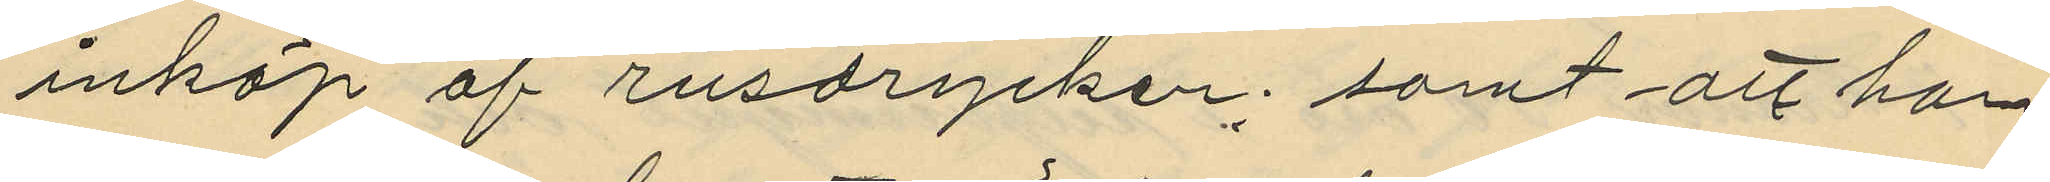inköp af rusdrycker; samt att han
